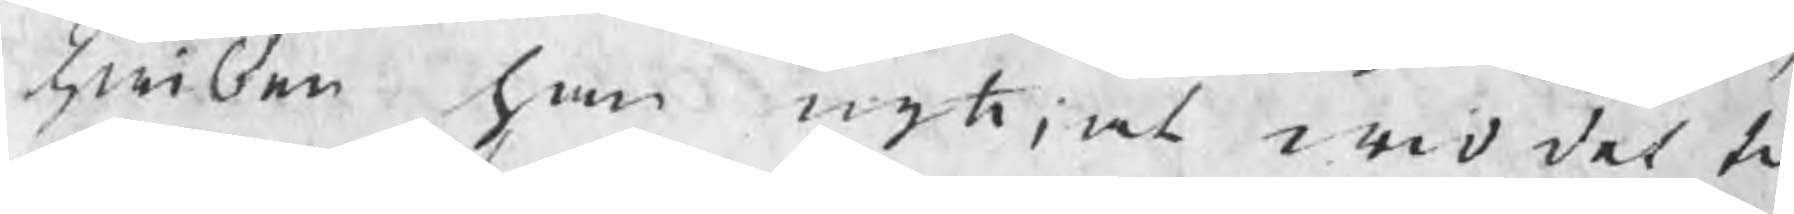hwilken han nyttiat wid det til
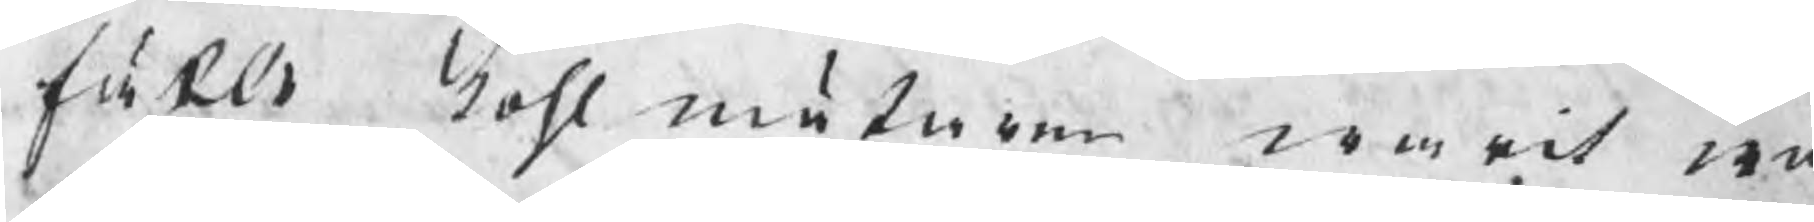fället kohlmätaren warit wid
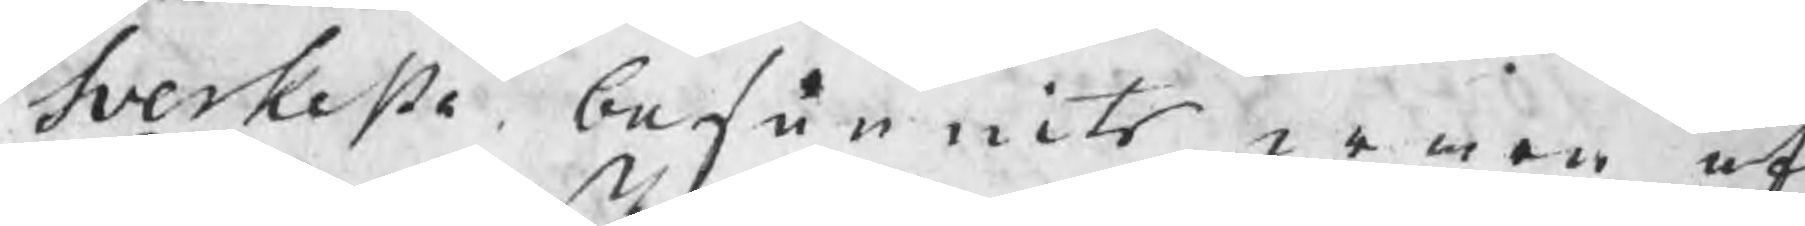Sverkesta, befunnits wara af
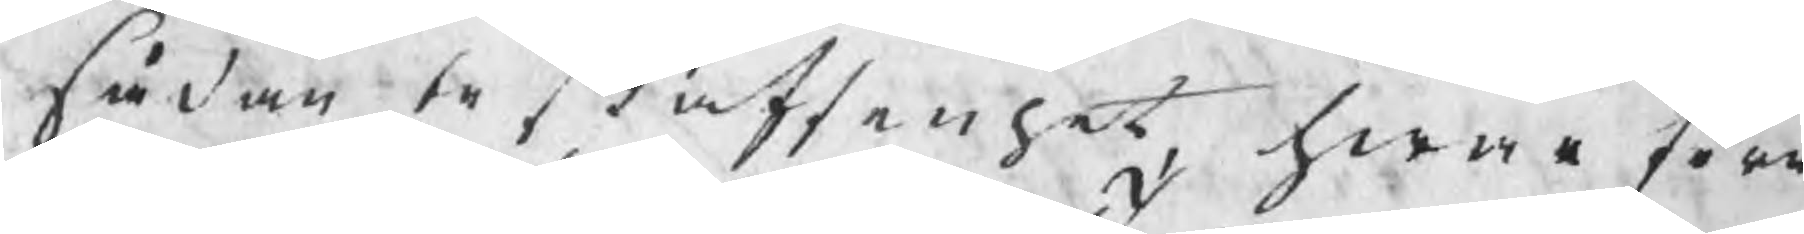sådan beskaffenhet, hwarföre
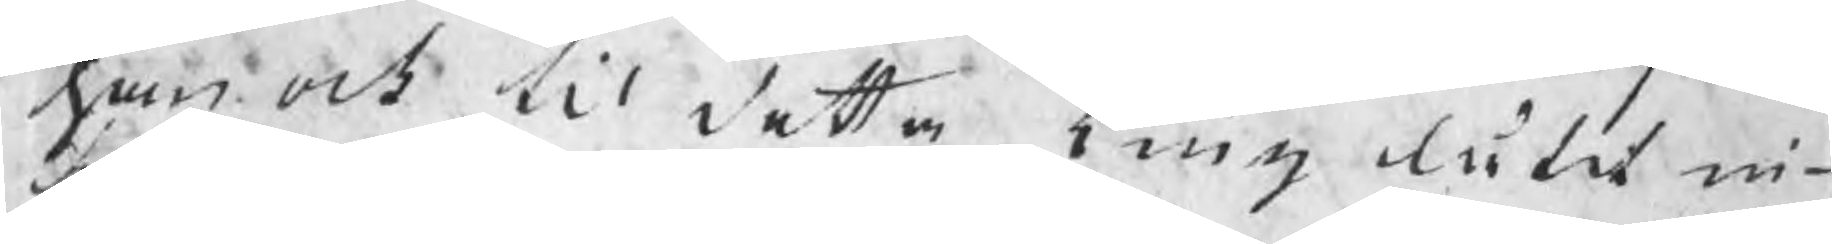han och til detta Ting låtit in¬
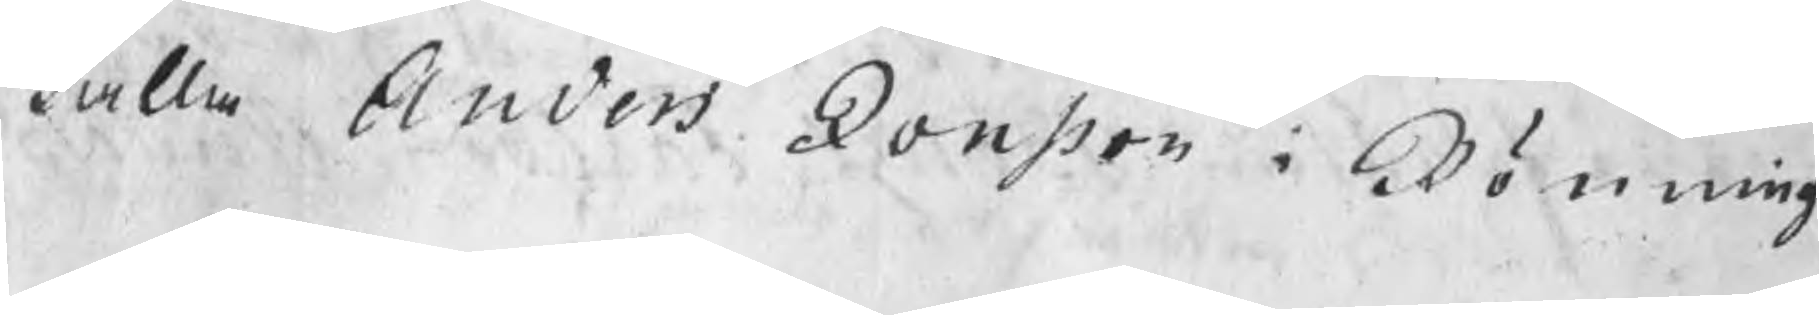kalla Anders Jonsson i Rönning
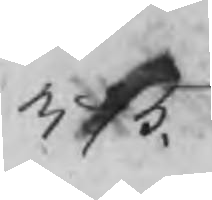375.
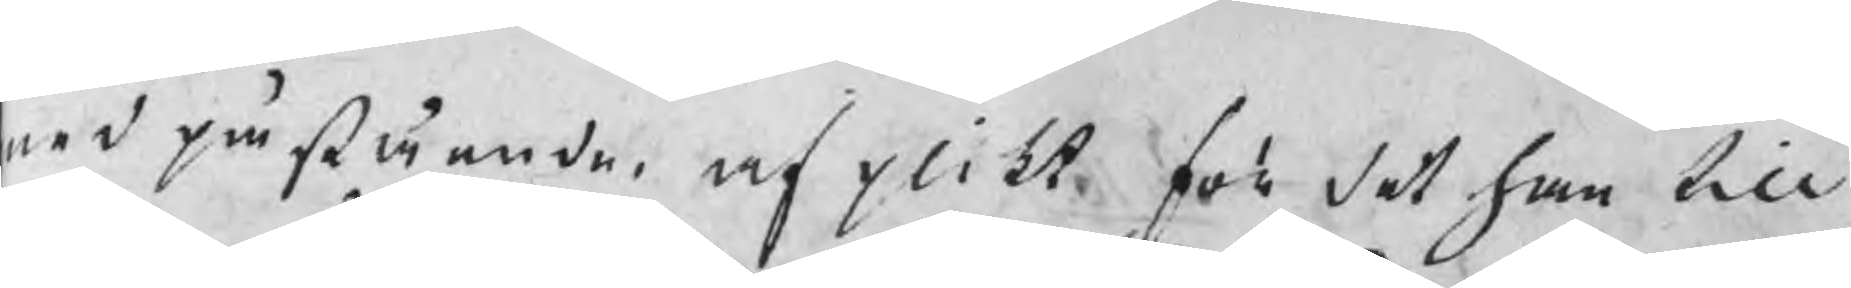med påstående, af plikt för det han till
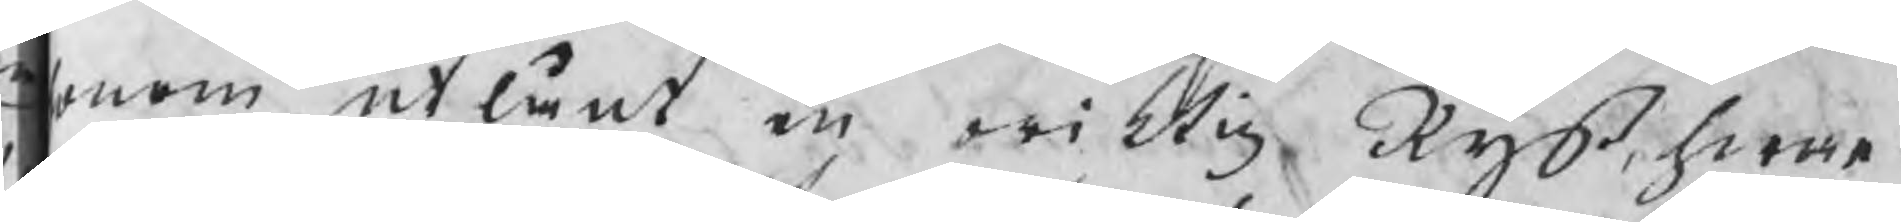onom utlånt en oriktig Ryß, hwar¬
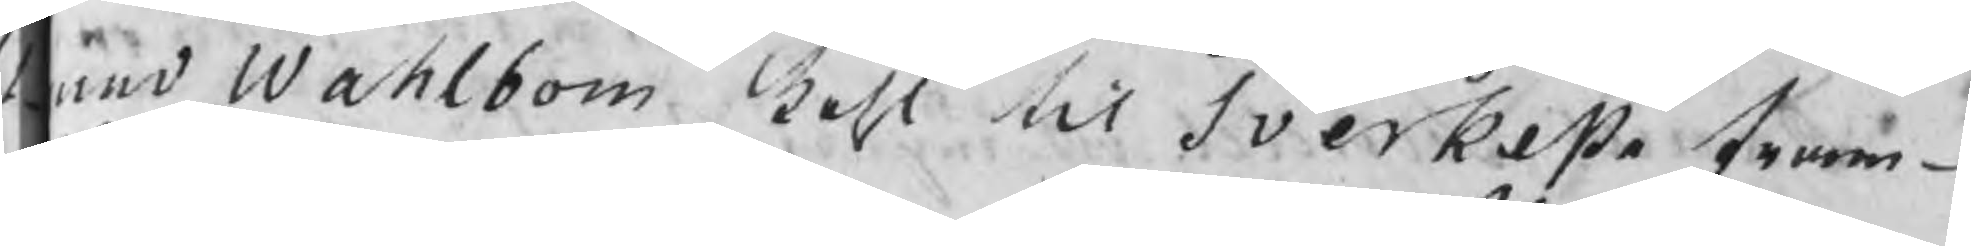med Wahlbom kohl til Sverkesta fram¬
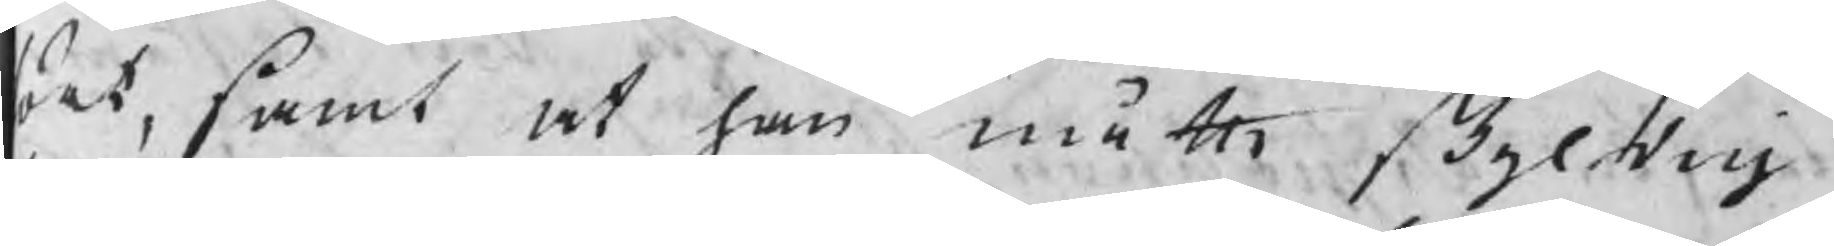ört, samt at han måtte skyldig
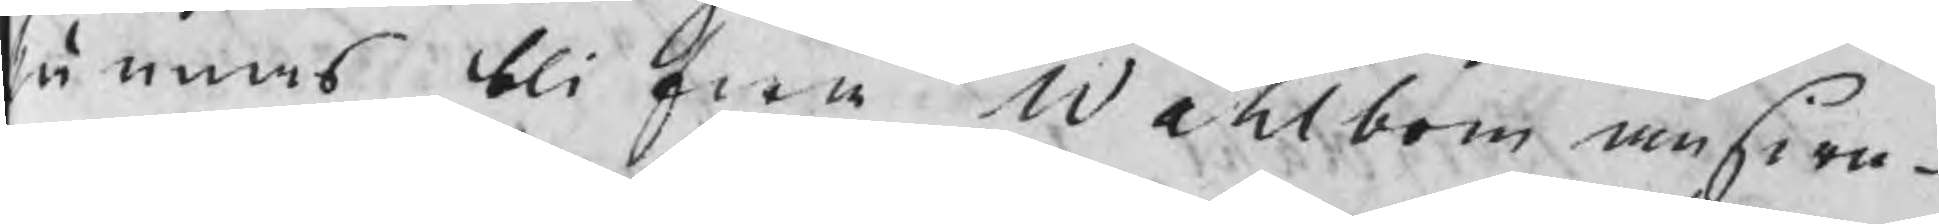kännas blifwa Wahlbom answa¬
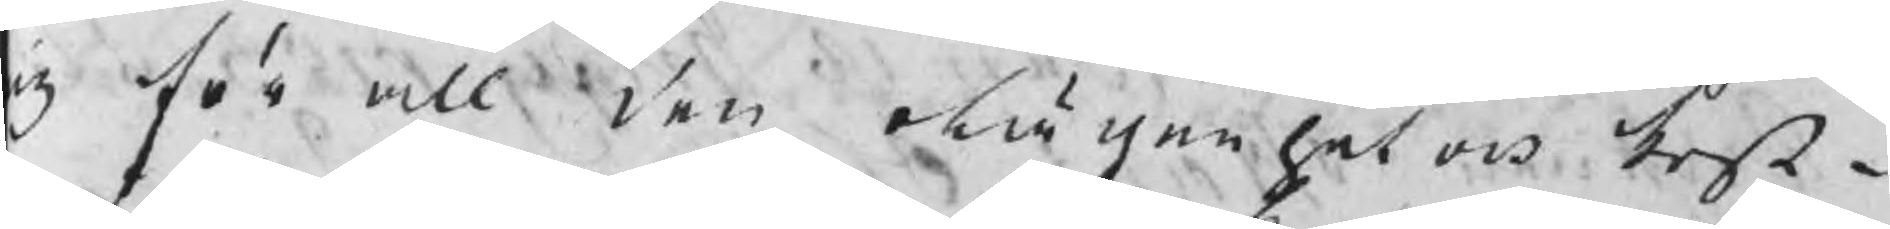ig för all den olägenhet och kost¬
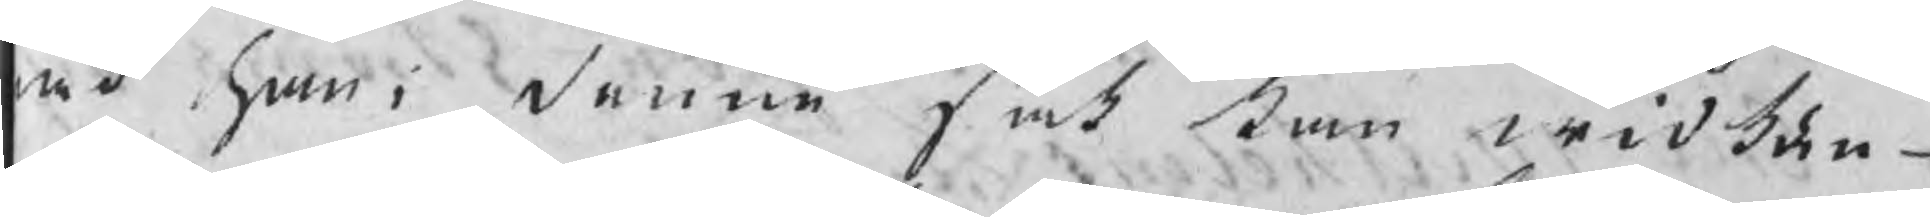ad han i denne sak kan widkän¬
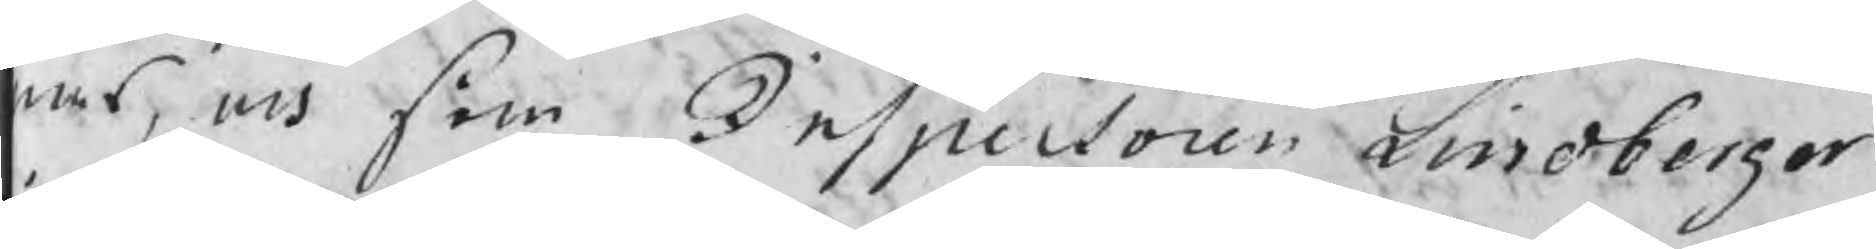as, och som Inspectoren Lindberger
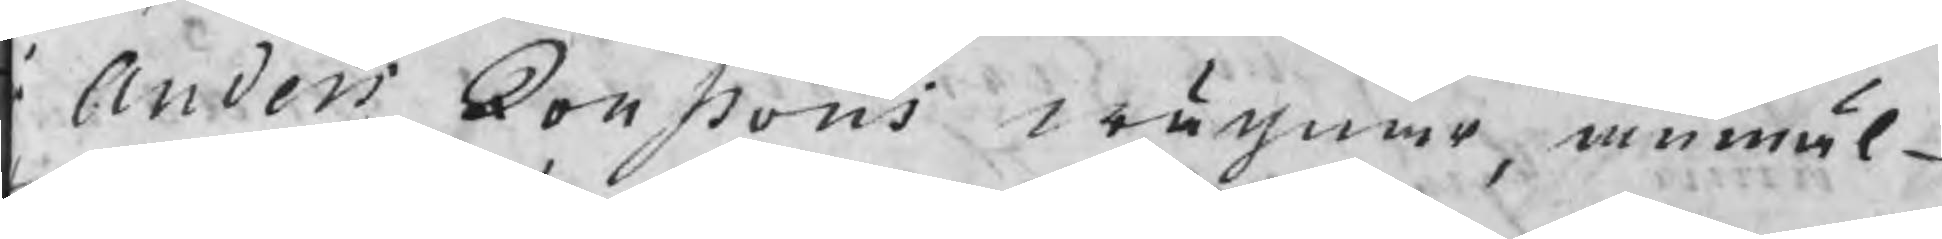Anders Jonssons wägnar, anmäl¬
